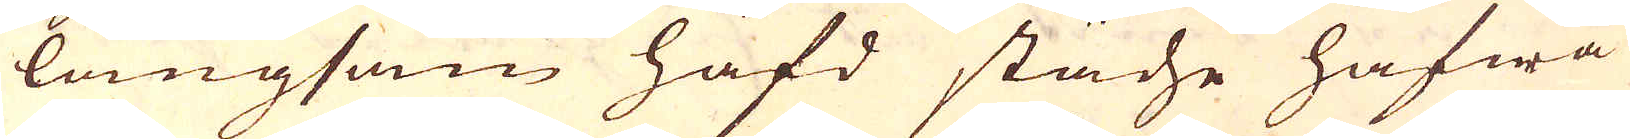långsam häfd städse hafwa
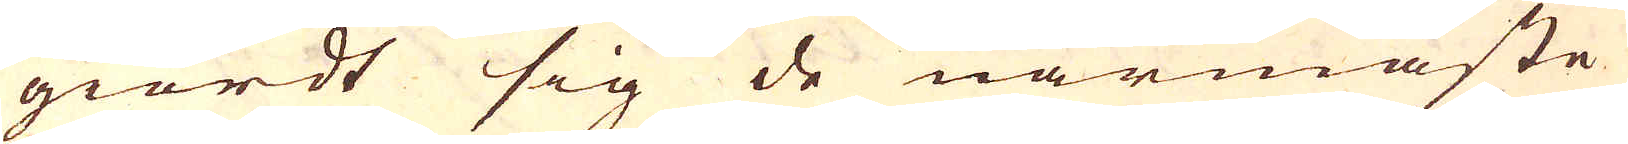giordt sig de närmaste
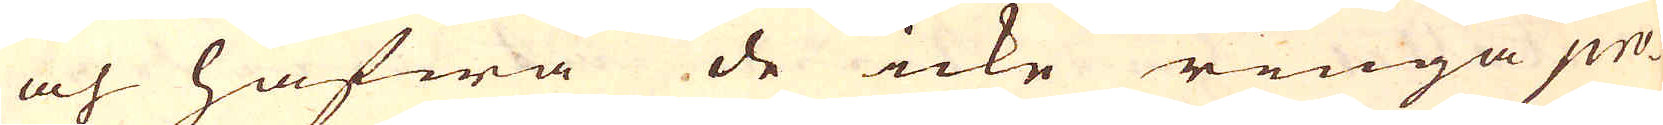och hafwa de icke ringa pro-
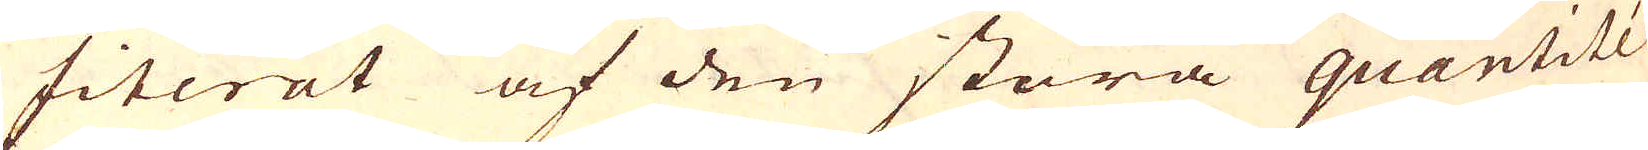fiterat af den stora quantité
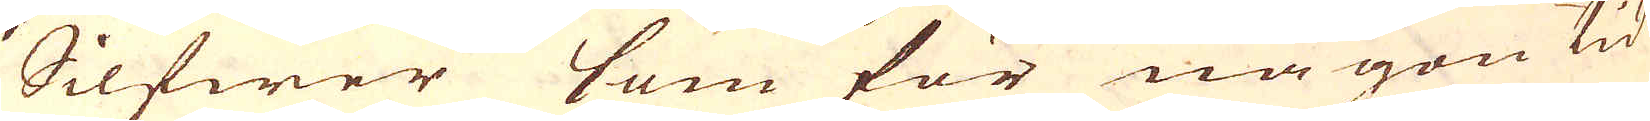Silfwer som för någon tid
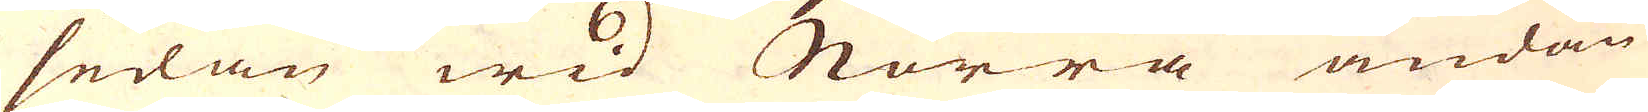sedan wid Norra ändan
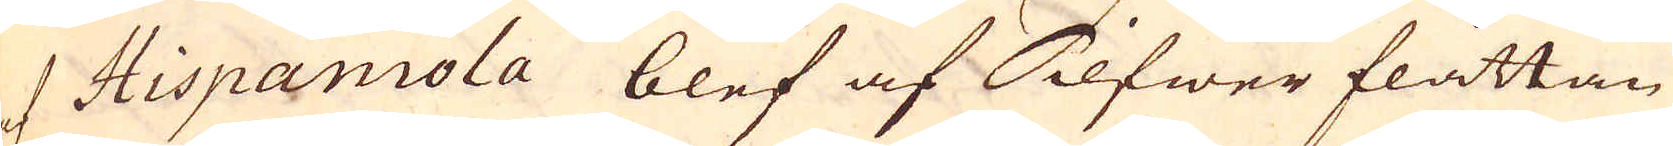af Hispaniola blef af Silfwer flåttan
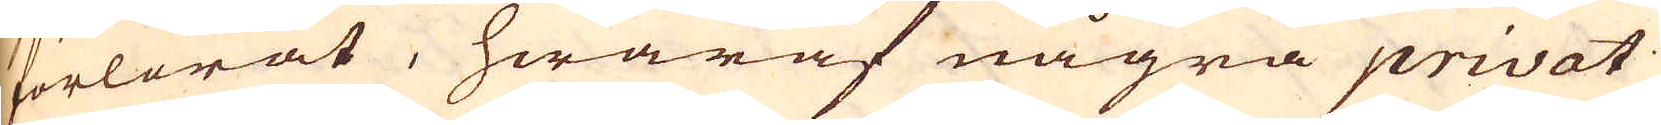förlorat, hwaraf några privat
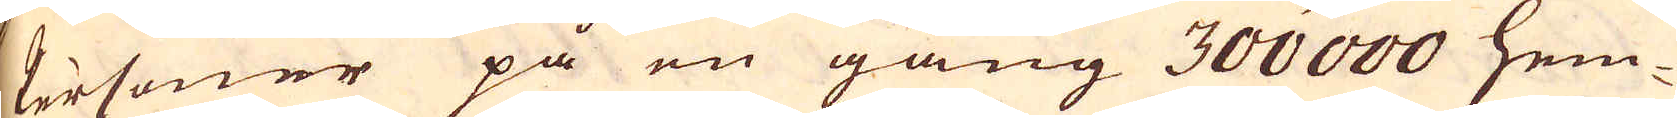Personer på en gång 300 000 hem-
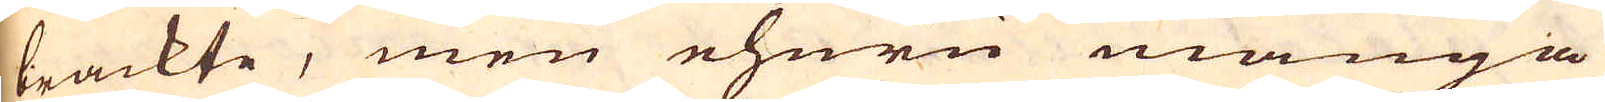brackte, men ehuru många
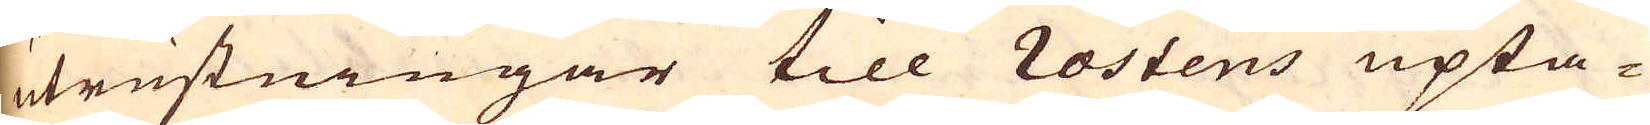utrustningar till rostens upta-
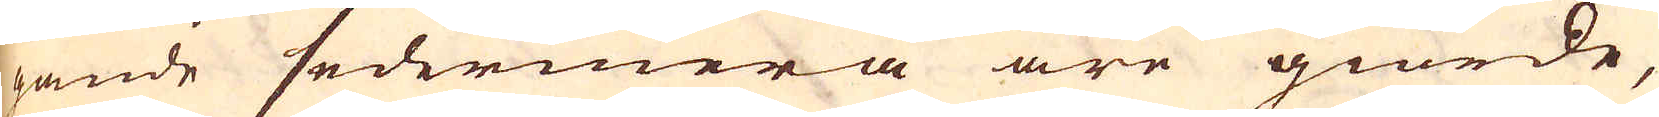gande sedermera äre giorde,
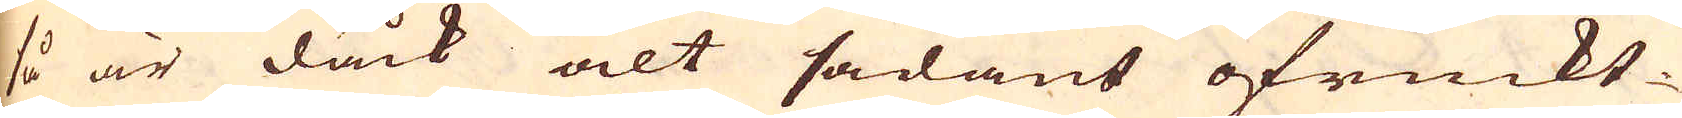så är dåck alt sådant ofruckt-
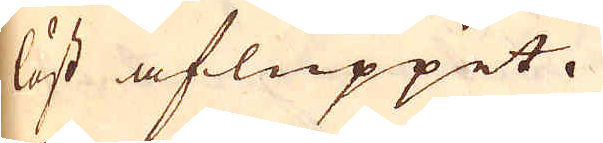löst afluppit.
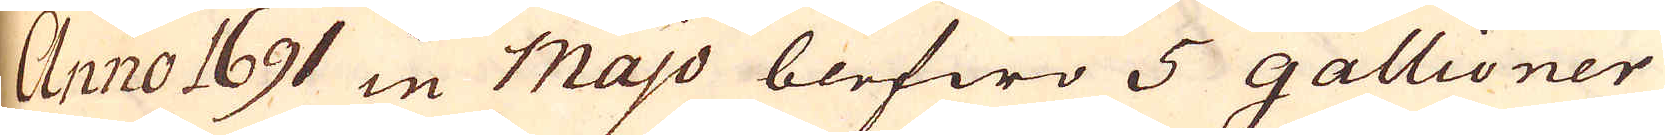Anno 1691 in Majo blefwo 5 gallioner
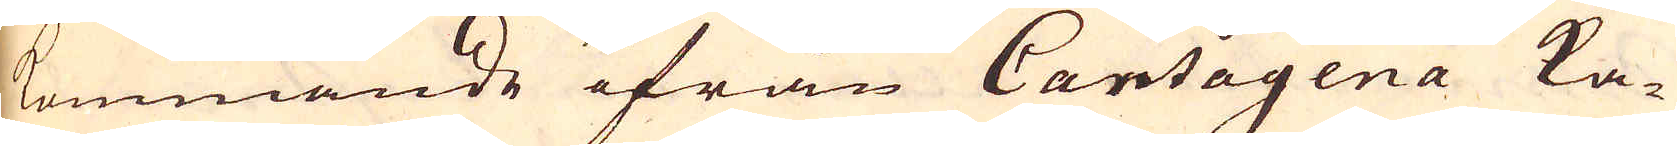kommande ifrån Cartagena ka-
